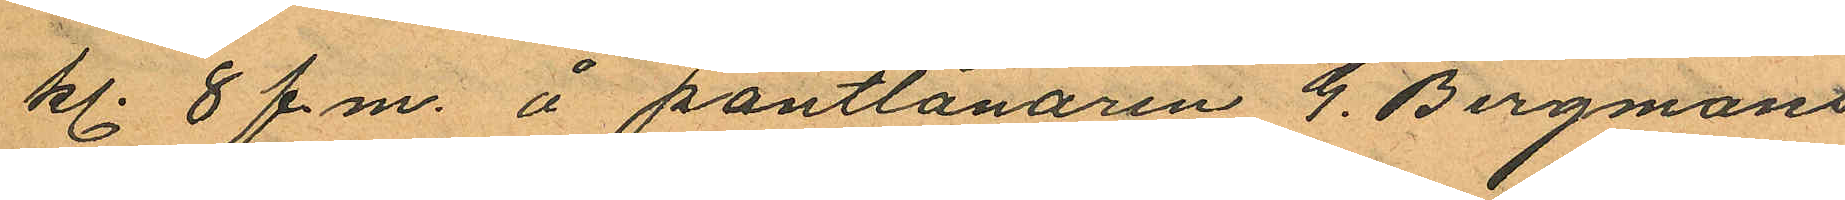kl. 8 f.m. å pantlånaren G. Bergmans
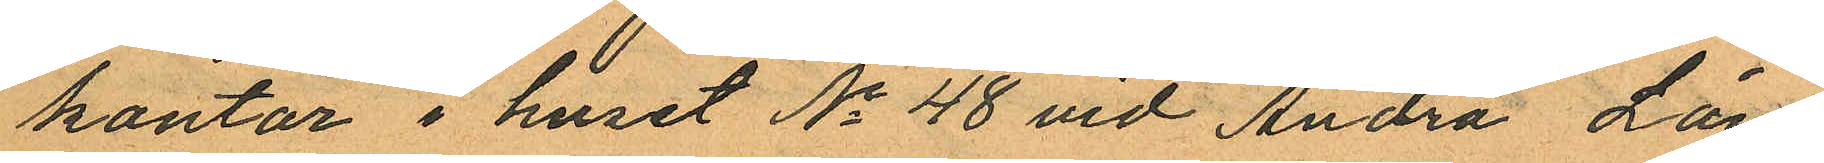kontor i huset No 48 vid Andra Lång¬
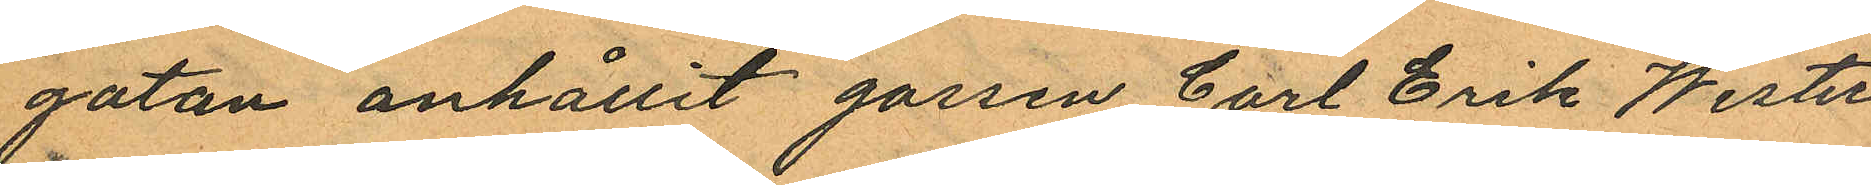gatan anhållit gorsen Carl Erik Wester
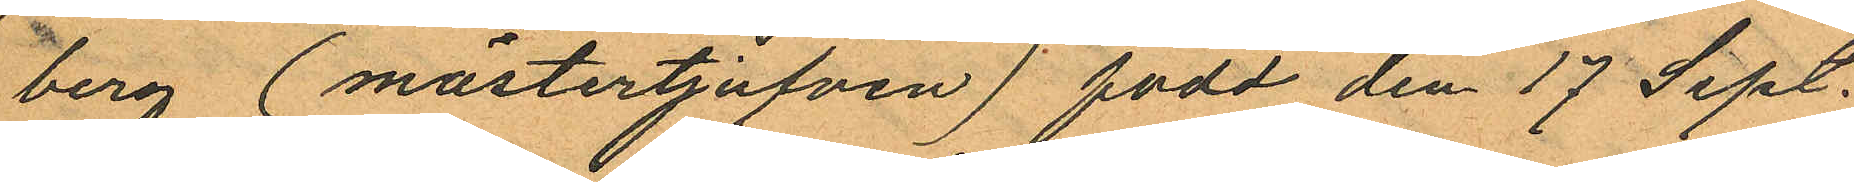berg (mästertjufven) född den 17 Sept.
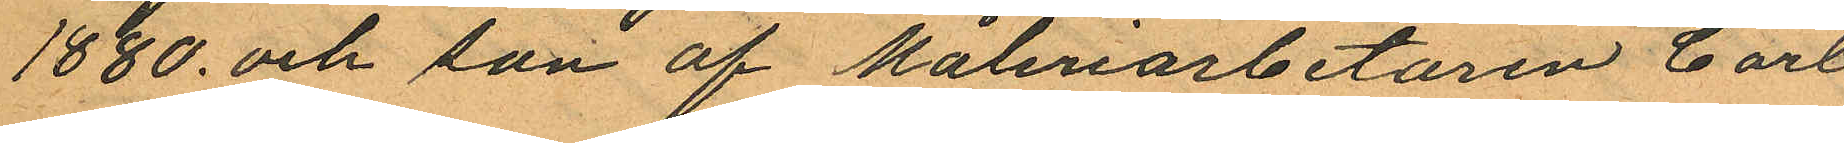1880 och son af Måleriarbetaren Carl
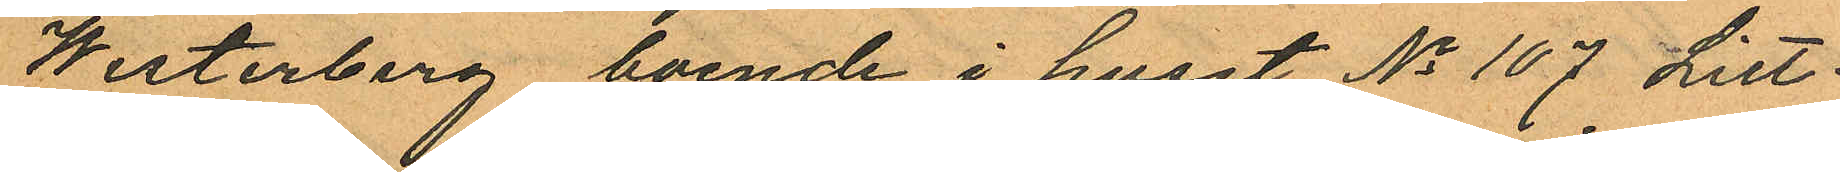Werterberg, boende i huset No 107 Litt:
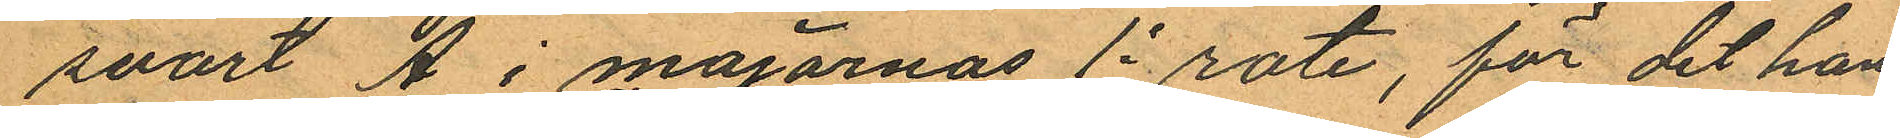svart Å i majornas 1a rote, för det han
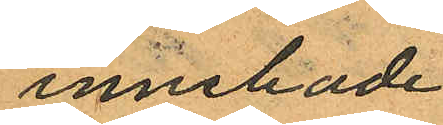innehade
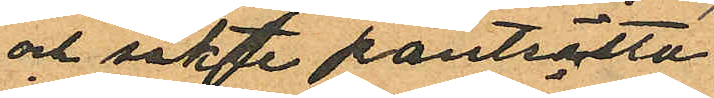och sökte pantsätta
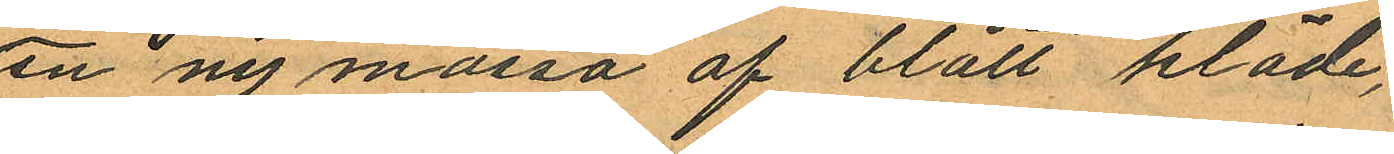en ny mössa af blått kläde,
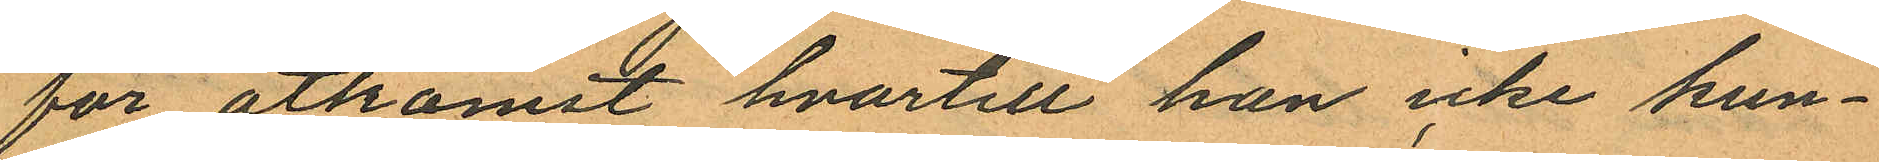för åtkomst hvartill han icke kun¬
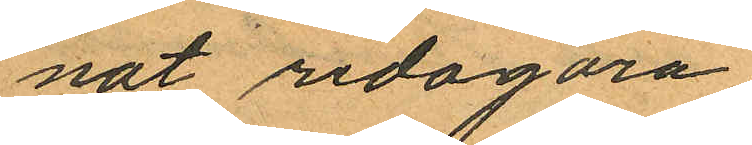nat redogöra.
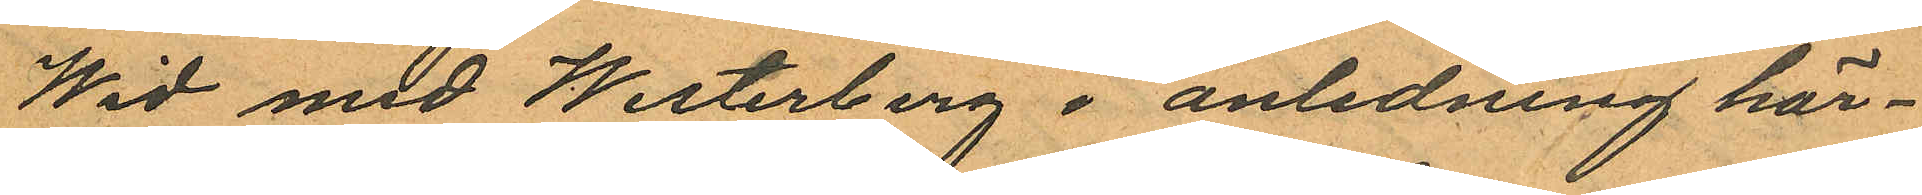Wid med Westerberg i anledning här¬
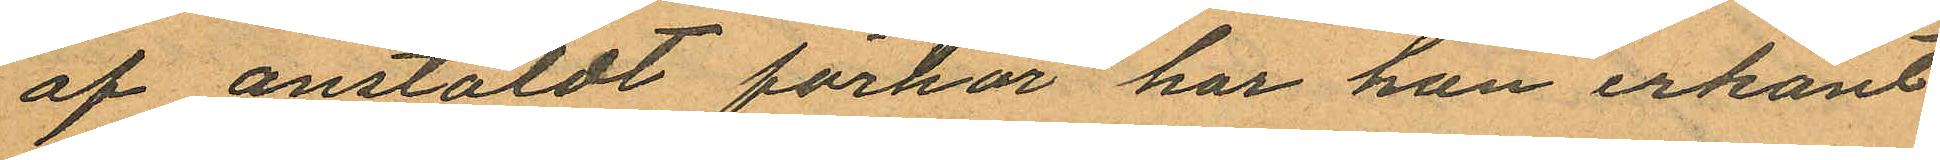af anstäldt förhör har han erkänt
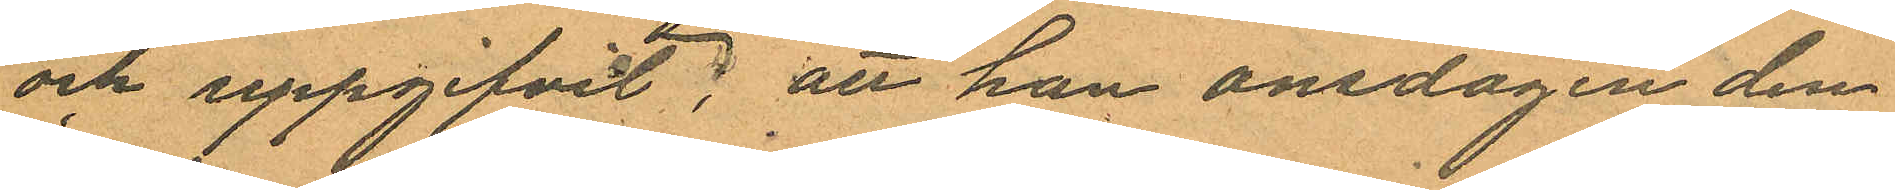och uppgifvit; att han onsdagen den
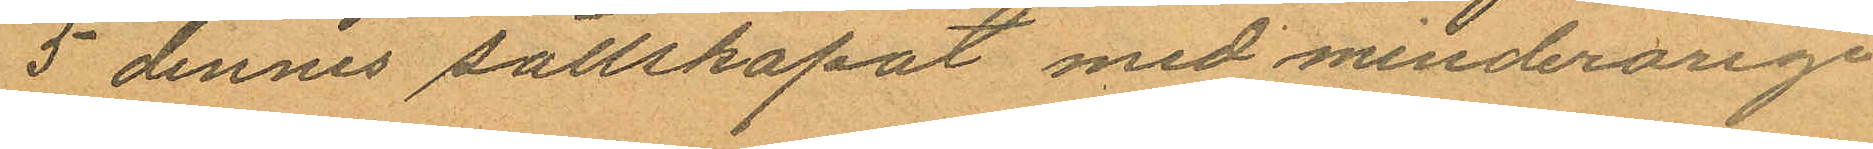5 dennes sällskapat med minderårige
